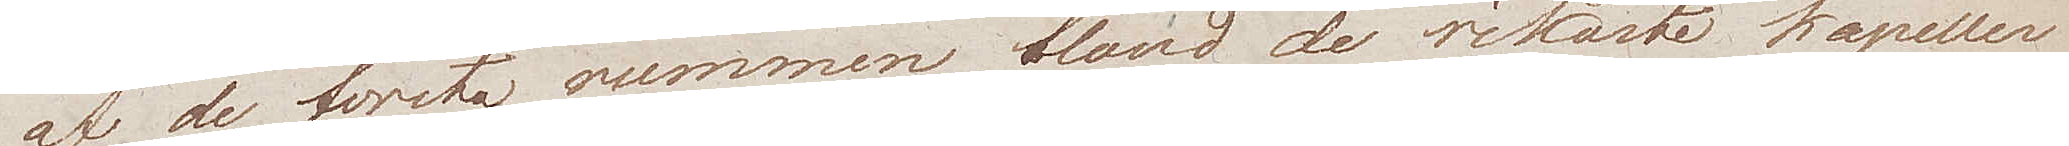af de första rummen bland de rikaste kapeller
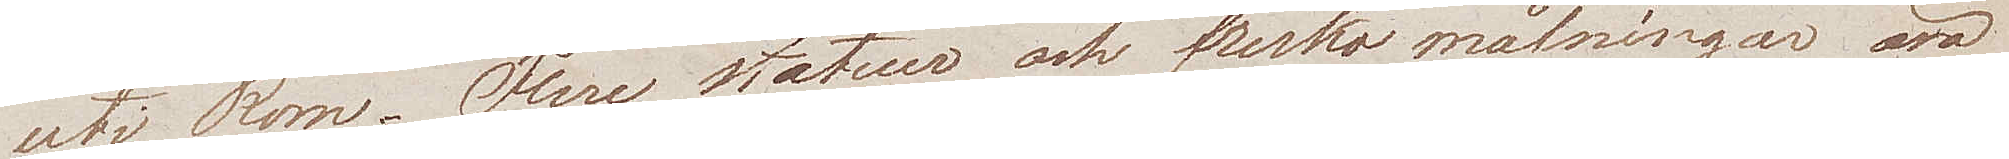uti Rom. Flere statuer och fresko målningar äro
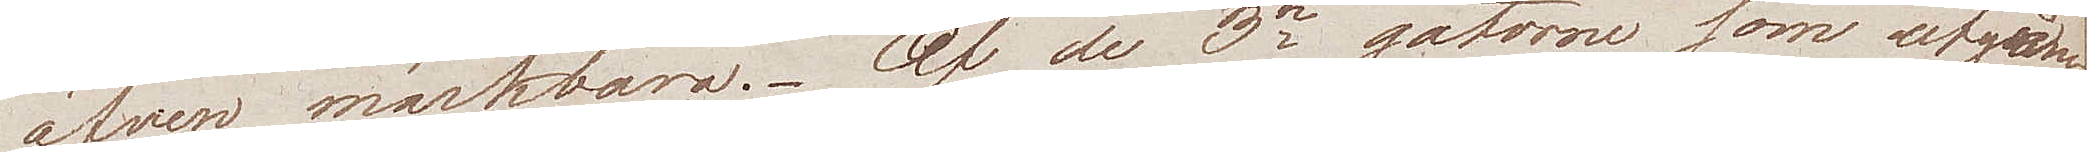äfven märkbara. Af de 3ne gatorne som utgå
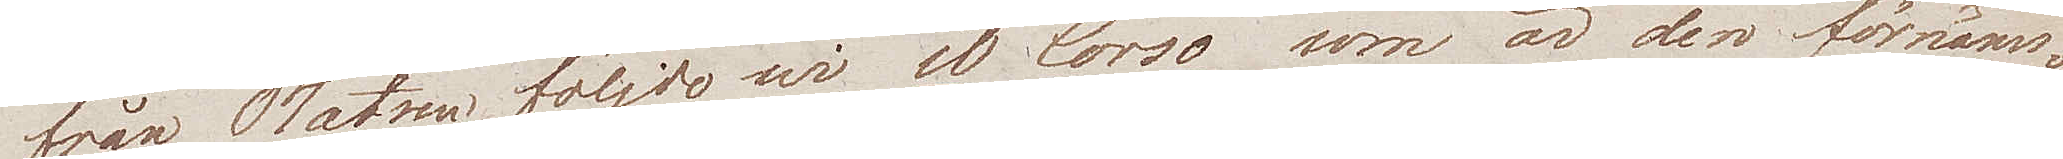från Platsen följde wi il Corso som är den förnäms¬
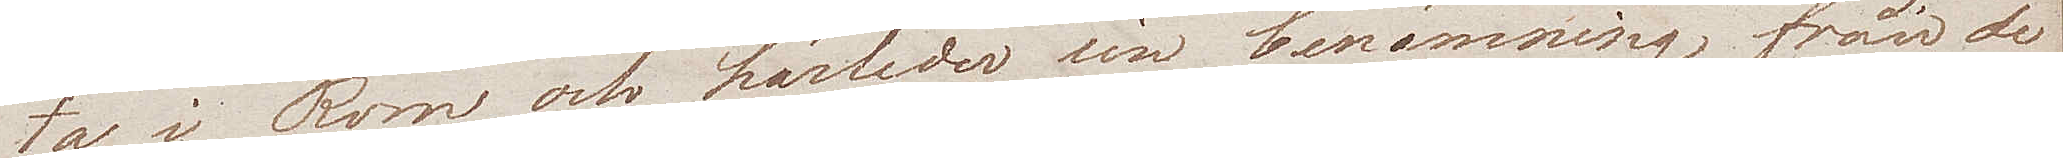ta i Rom, och härleder sin benämning från de
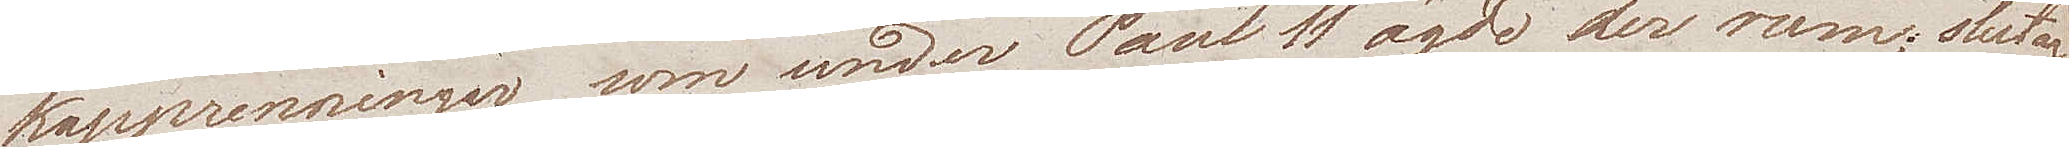kapprenningar som under Paul II ägde der rum; sluter
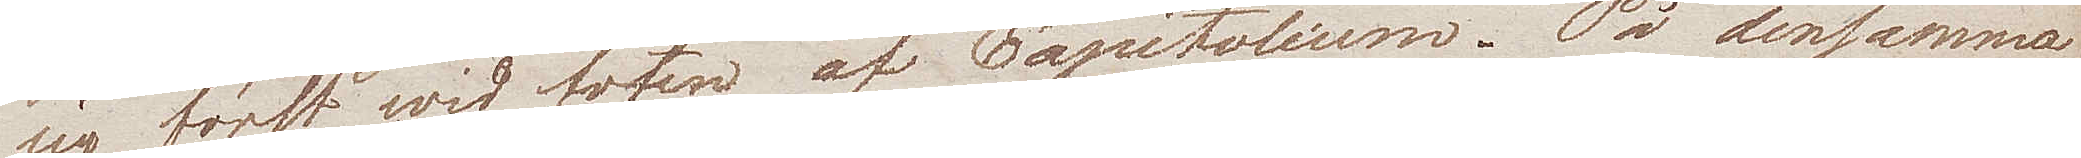sig först wid foten af Capitolium. På densamma
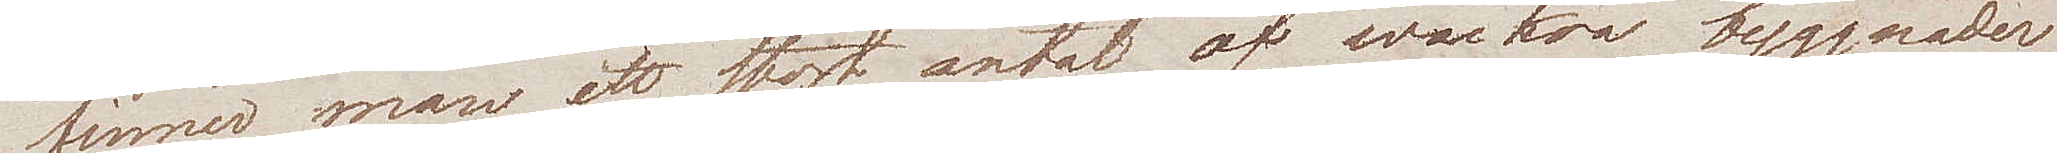finner man ett stort  antal af wackra byggnader
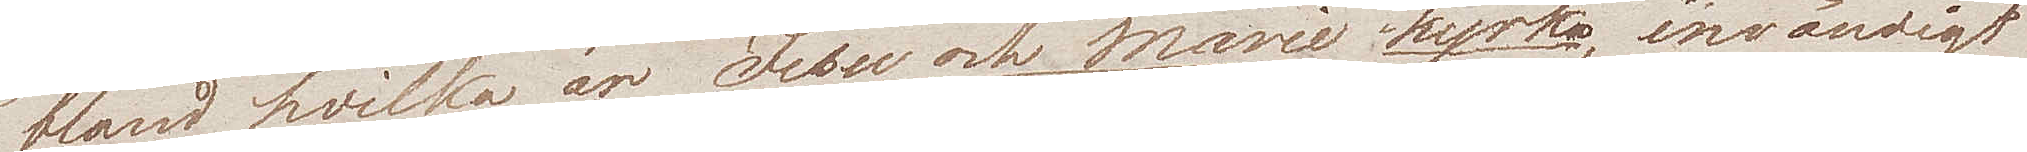bland hvilka är Jésu och Marie kyrka, invändigt
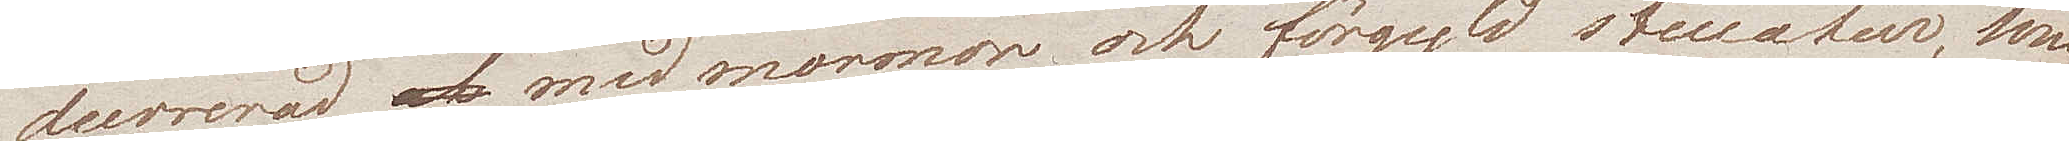decorerad med marmor och  förgyld stucatur, som
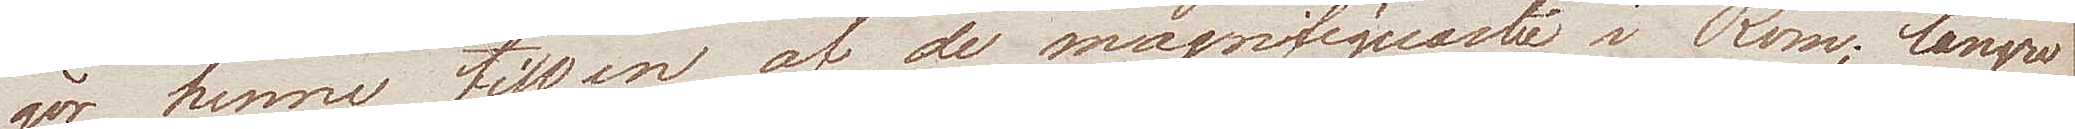gör henne till en af de magnifiquaste i Rom; längre
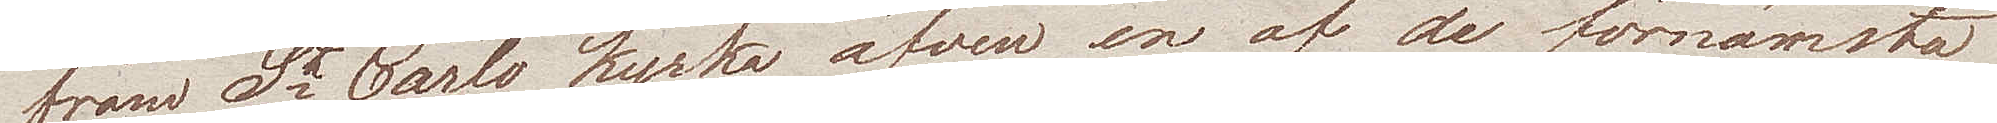fram St Carlo kyrka äfven en af de förnämsta
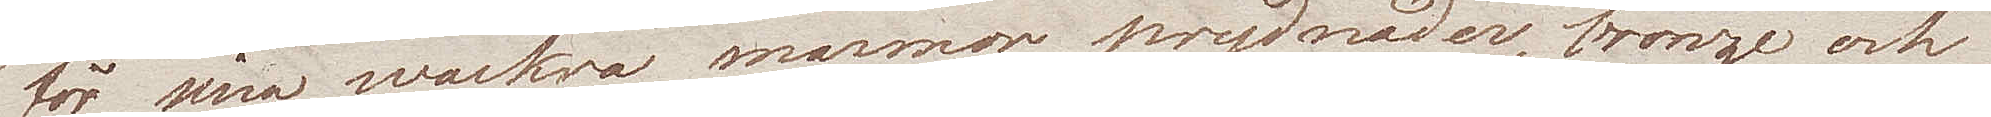för sina wackra marmorprydnader, bronze och
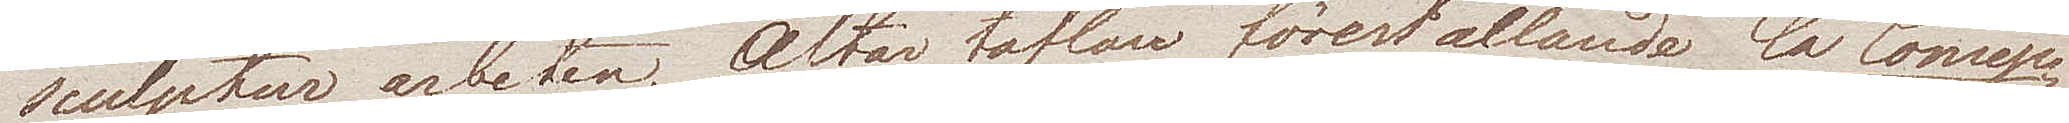sculptur arbeten, altartaflan föreställande La Concep¬
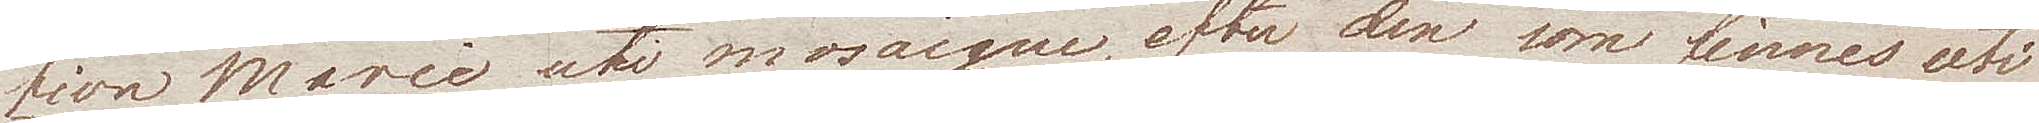tion Marie uti mosaique, efter den som finnes uti
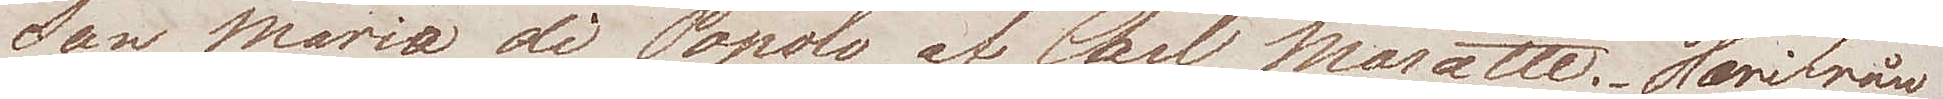San Maria di Popolo af Carl Maratte. Herifrån
